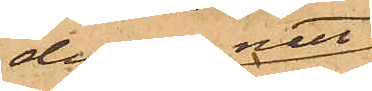denna natt
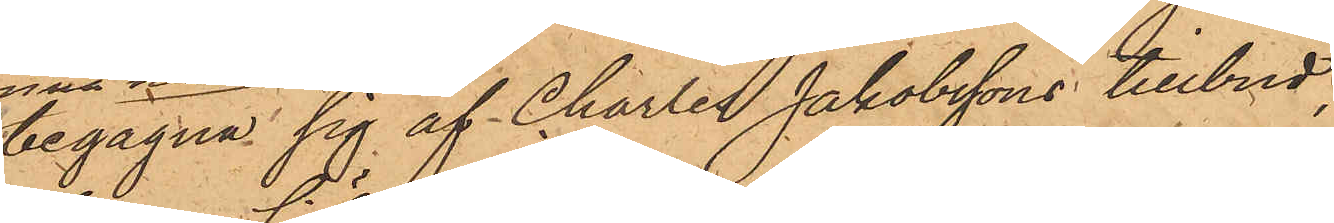begagna sig af Charles Jakobssons tillbud,
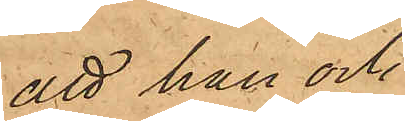att han och
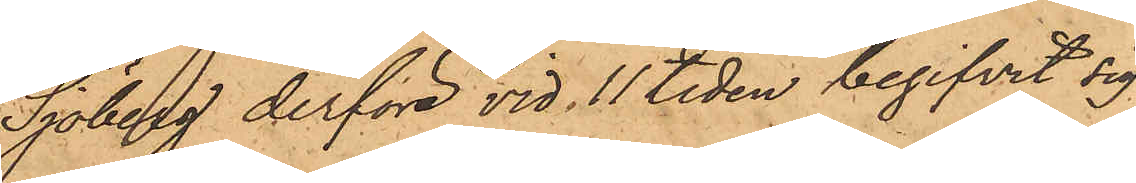Sjöberg derföre vid 11 tiden begifvit sig
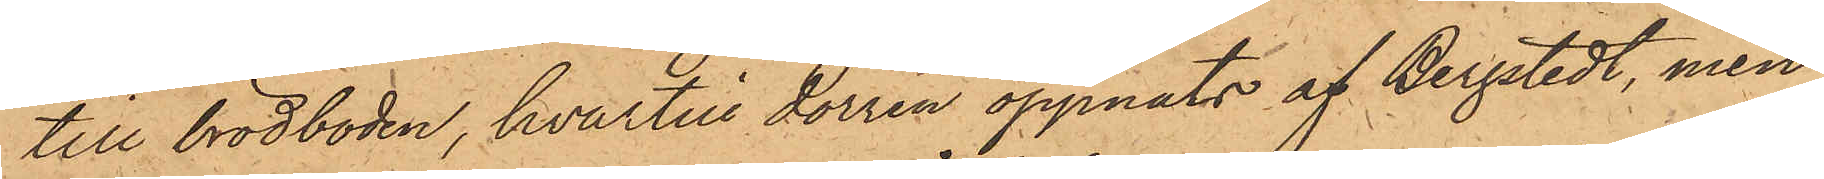till brödboden, hvartill dörren öppnats af Bergstedt, men
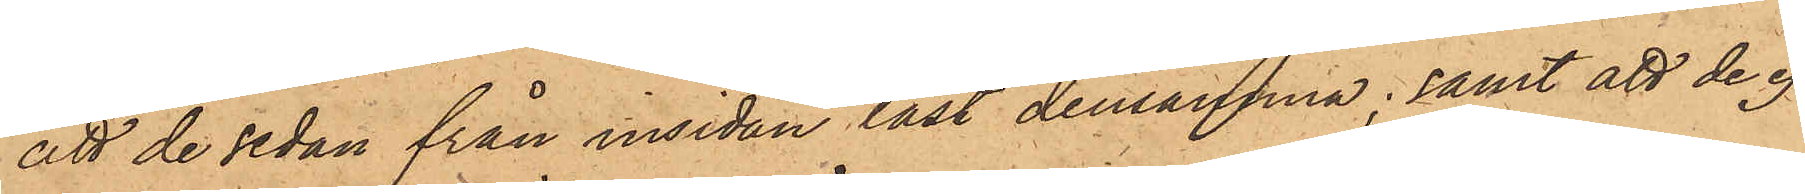att de sedan från insidan låst densamma; samt att de ej
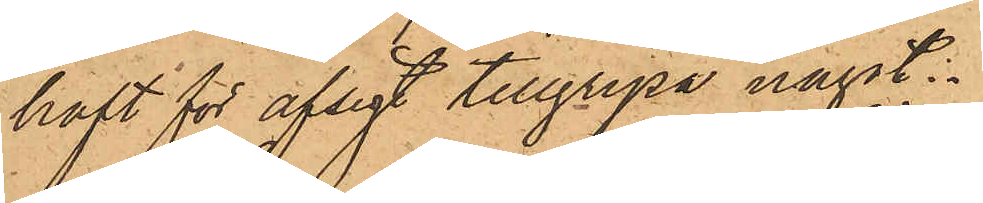haft för afsigt tillgripa något.
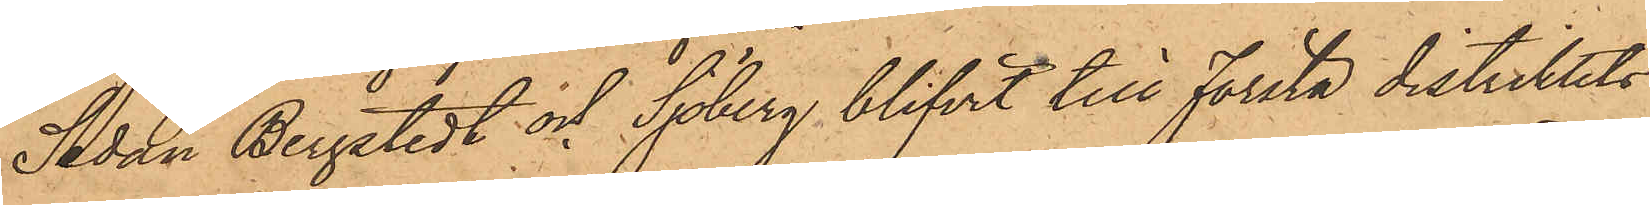Sedan Bergstedt och Sjöberg blifvit till första distriktits¬
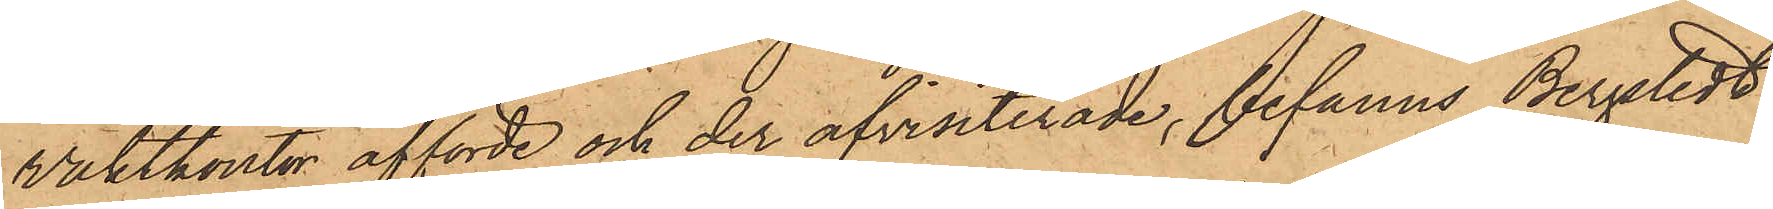vaktkontor afförde och der afvisiterade, befanns Bergstedt
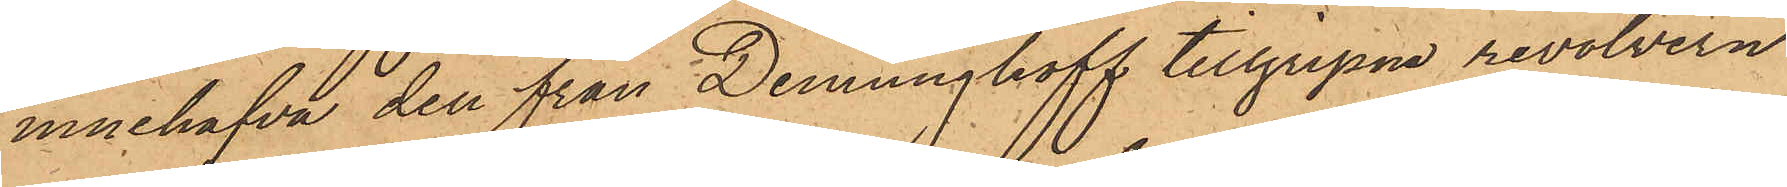innehafva den från Denninghoff tillgripne revolvern
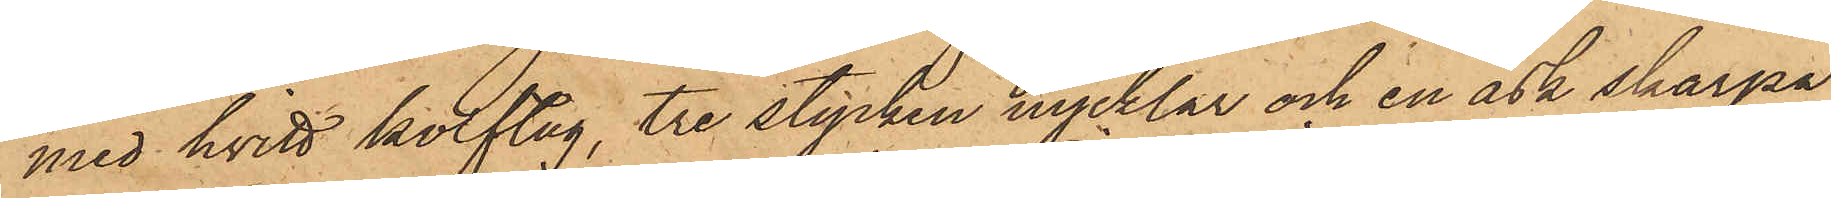med hvitt kolftug, tre stycken nycklar och en ask skarpa
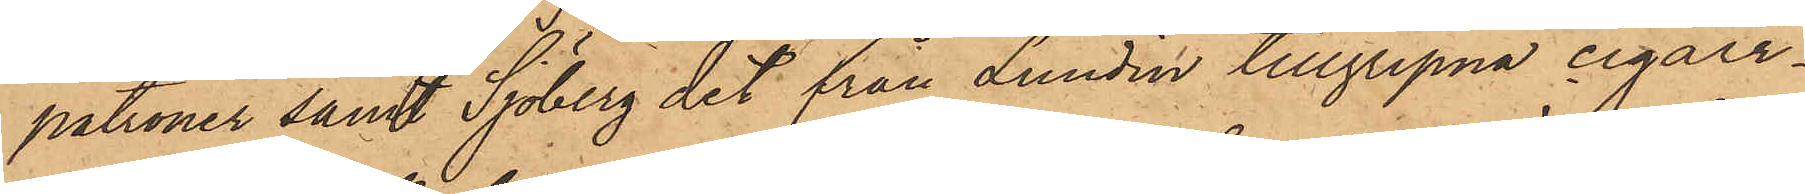patroner samt Sjöberg det från Lundin tillgripna cigarr¬
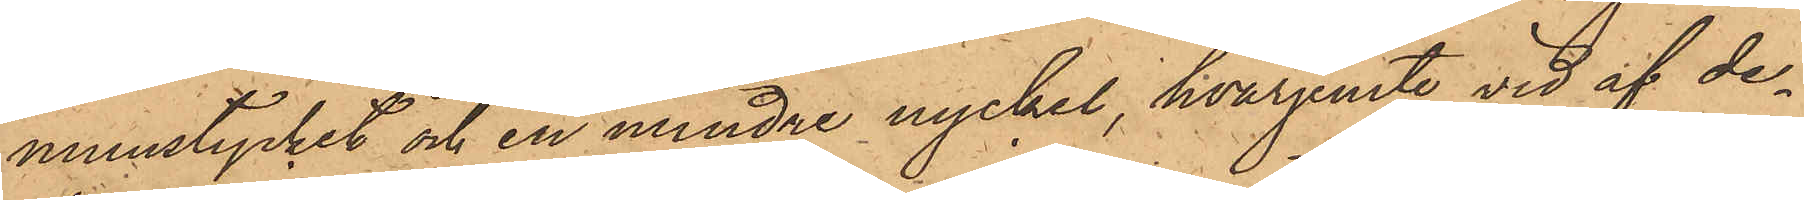munstycket och en mindre nyckel, hvarjemte vid af de¬
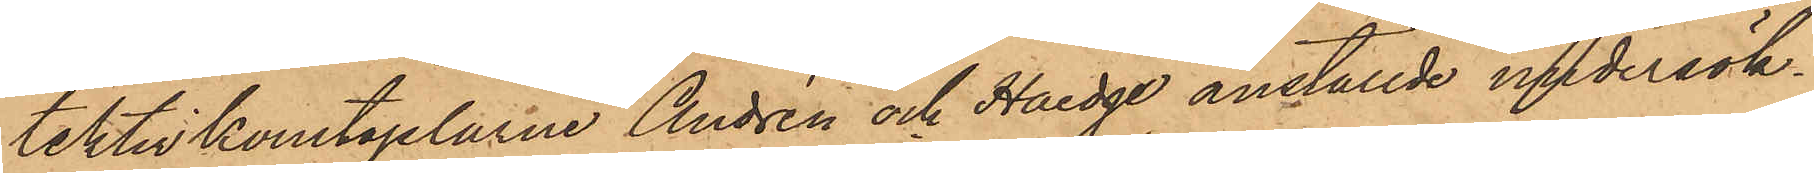tektivkonstaplarne Andrén och Haedge anställde undersök¬
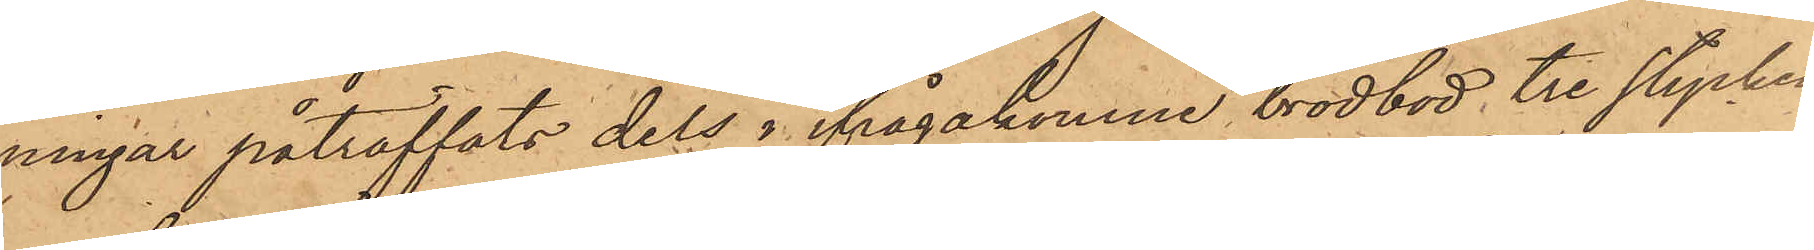ningar påträffats dels i ifrågakomne brödbod, tre stycken
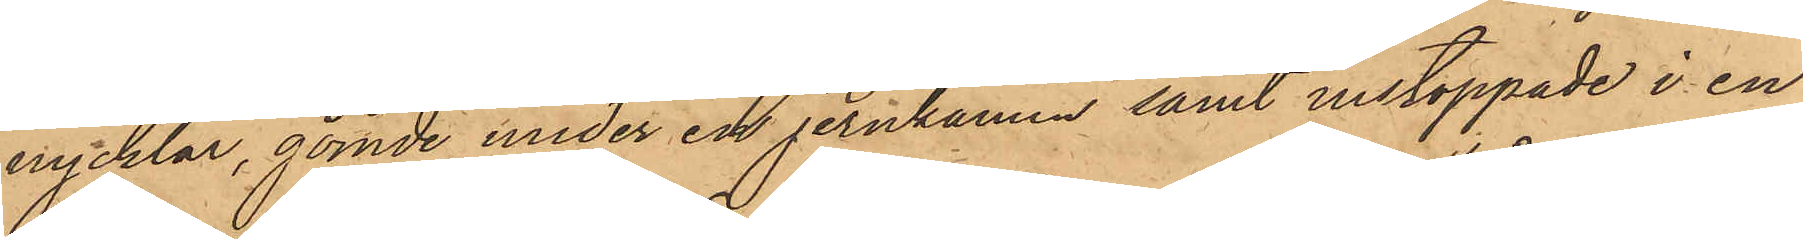nycklar, gömde under en jernkamin samt instoppade i en
